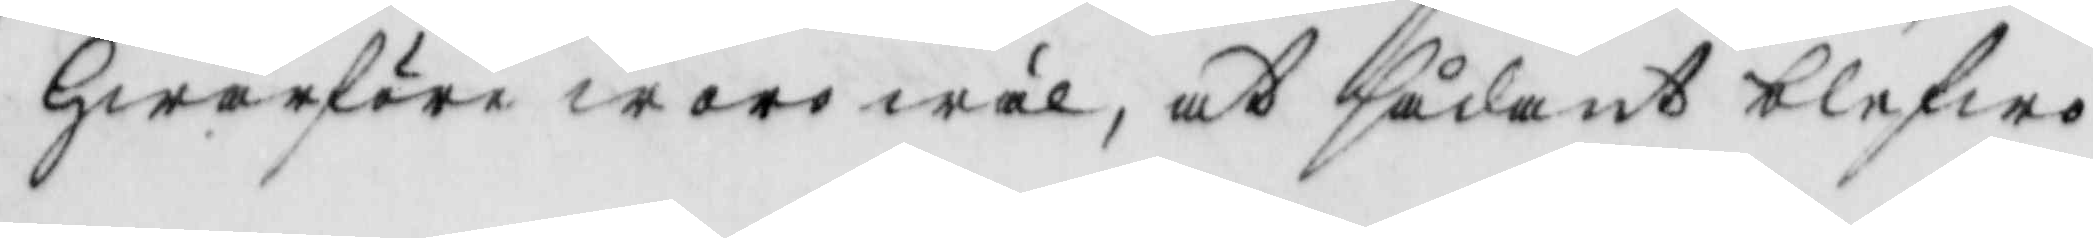hwarföre woro wäl, at sådant blefwo
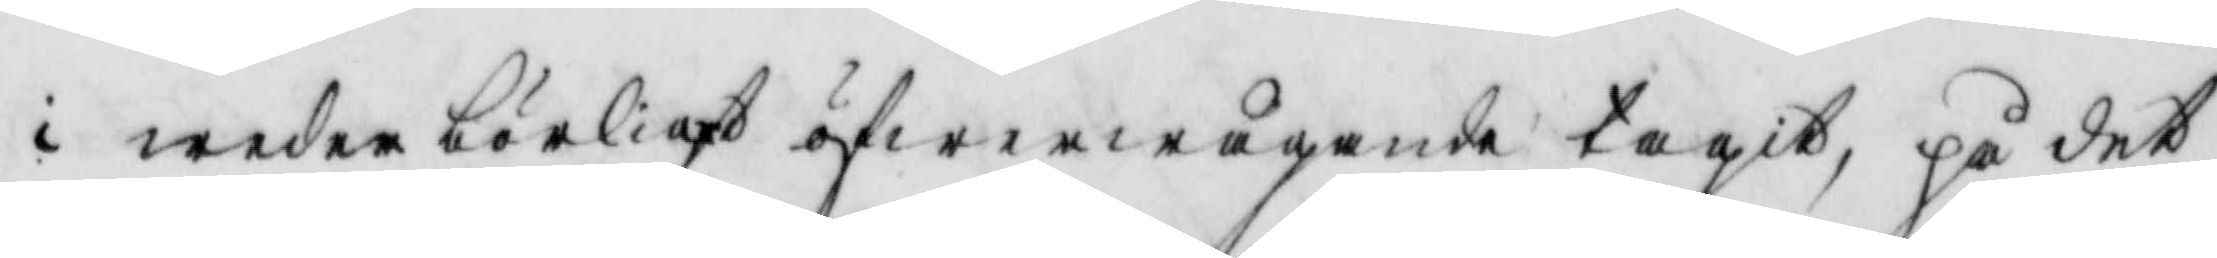i wederbörligt öfwerwågande tagit, på det
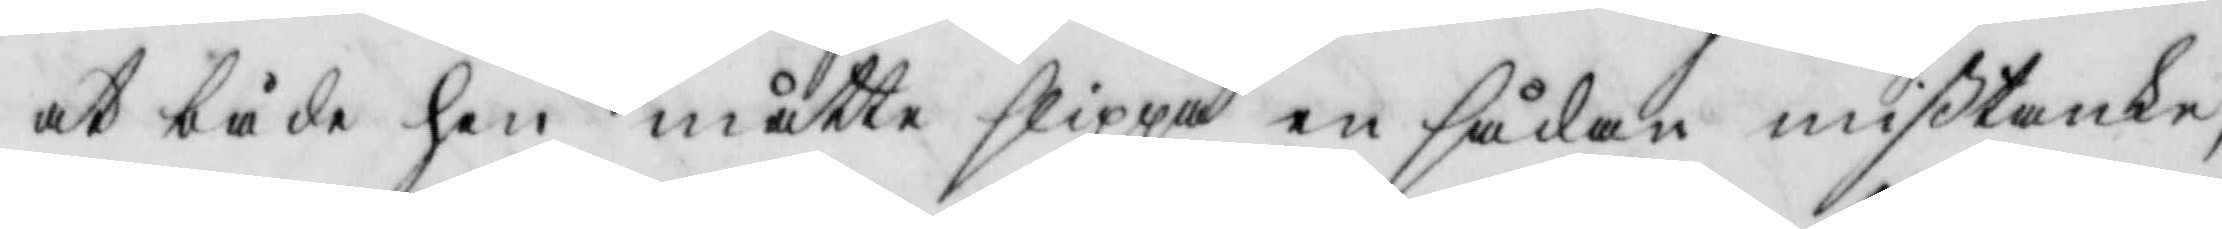at både han måtte slippa en sådan mißtanke,
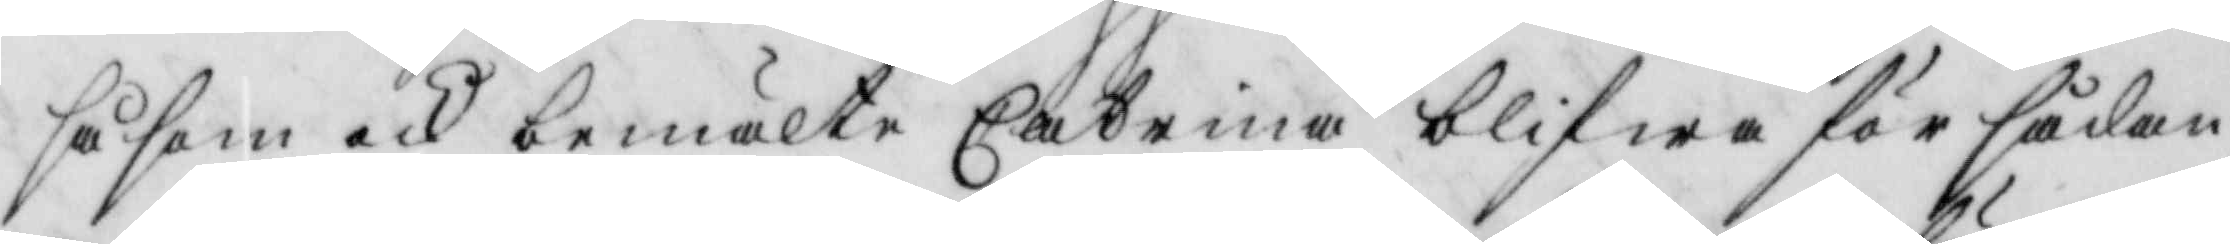såsom och bemälte Catrina blifwa för sådan
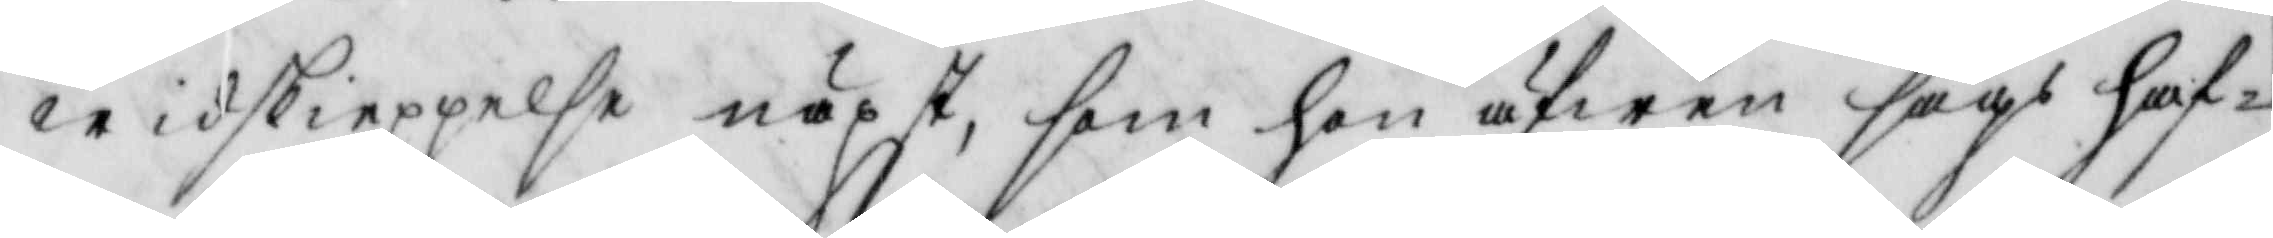widskieppelse näpst, som hon äfwen sägs haf¬
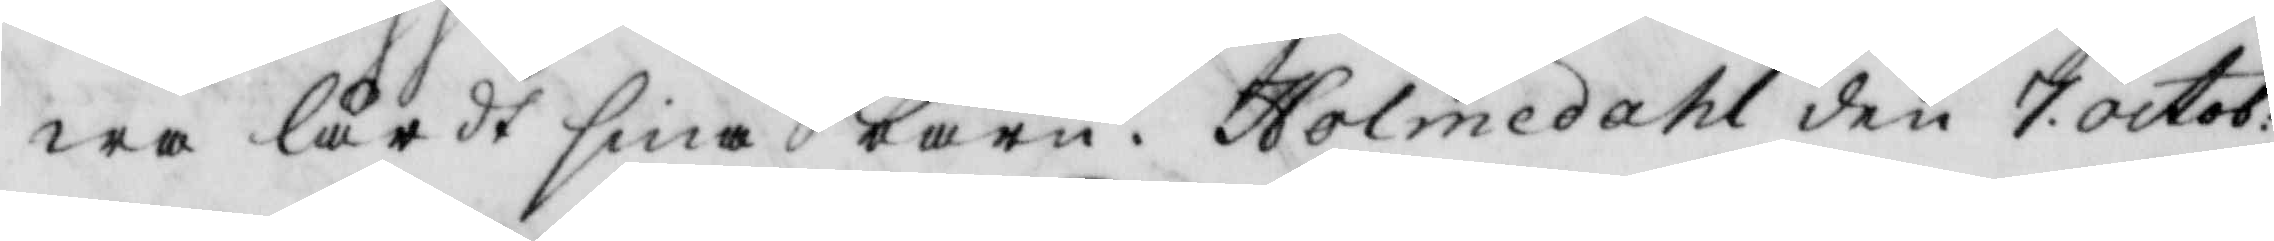wa lärdt sina barn. Holmedahl den 7 octob. 
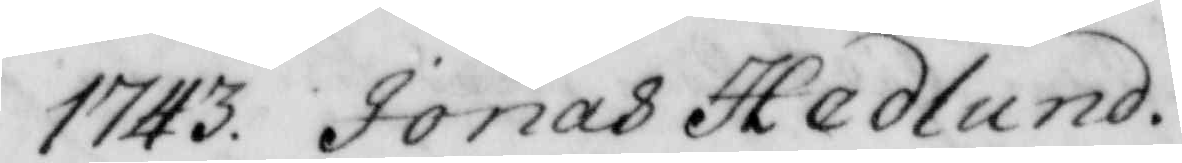1743. Jonas Hedlund.
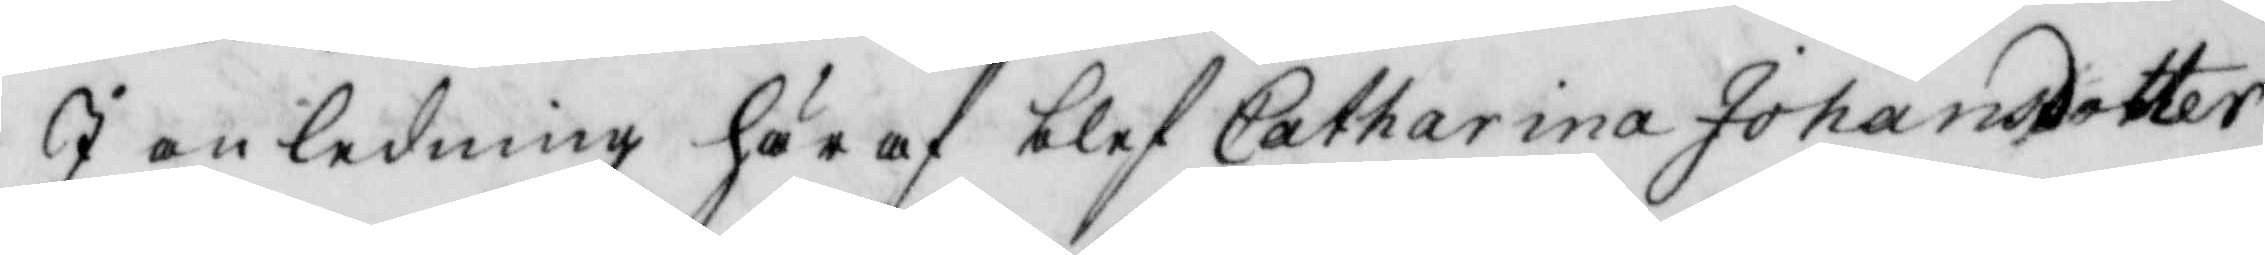I anledning här af blef Catharina Johansdotter
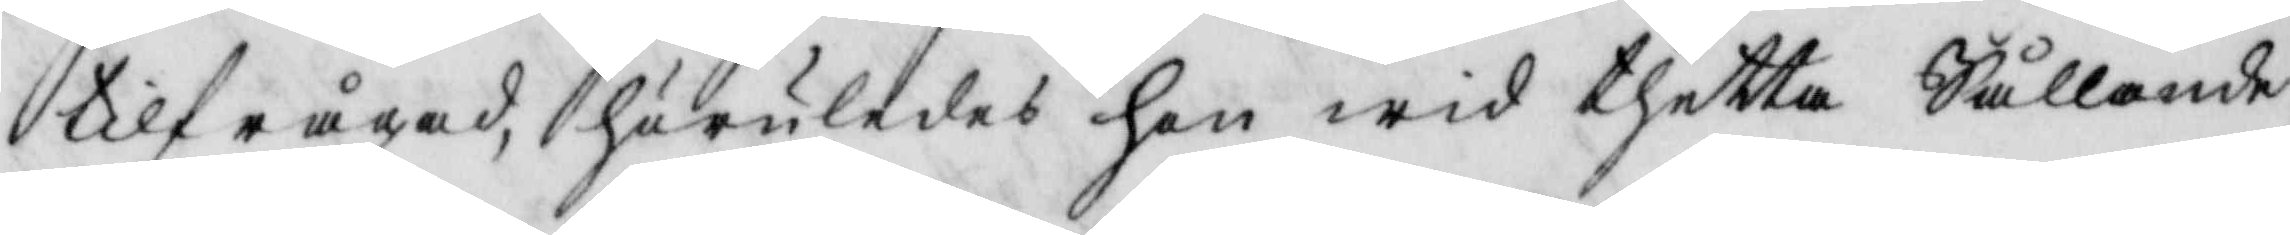tilfrågad, huruledes hon wid thetta Sållande
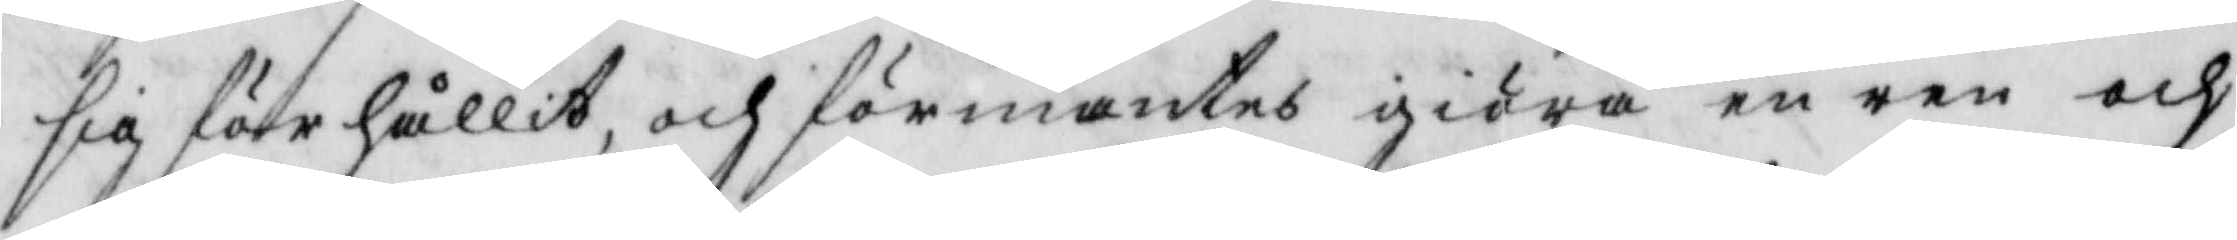sig förrhållit, och förmantes giöra en ren och
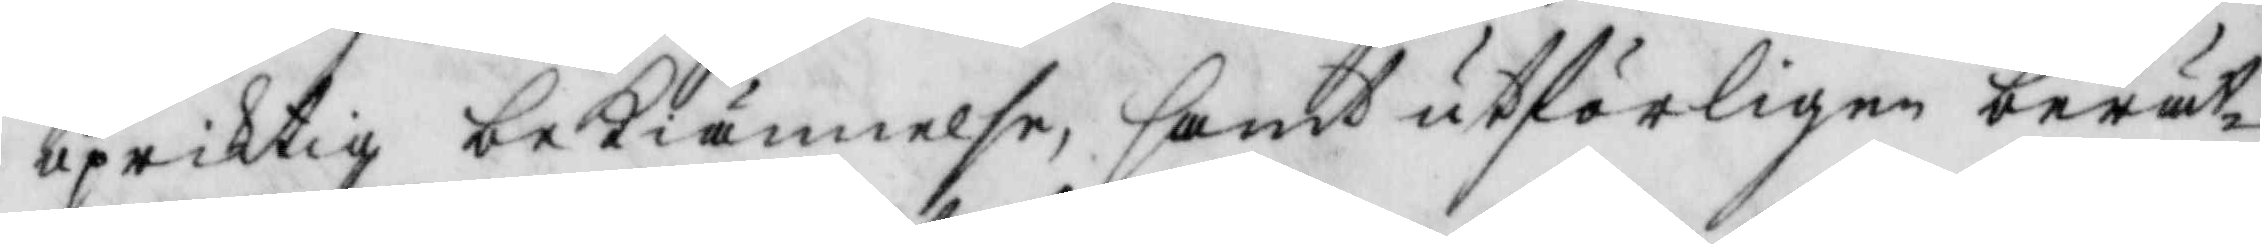upriktig bekiännelse, samt utförligen berätt¬
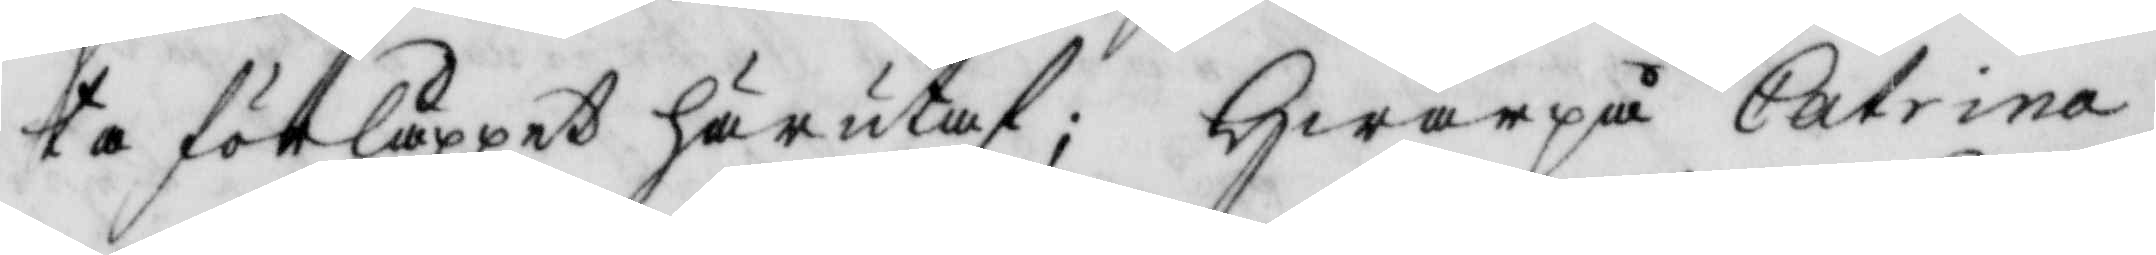ta förlåppet härutaf; Hwarpå Catrina
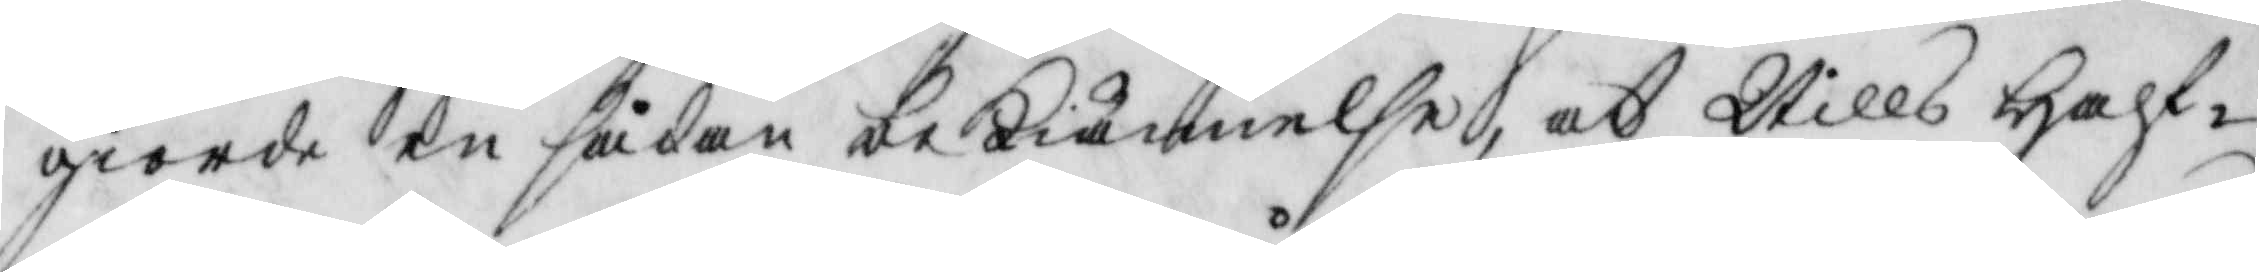giorde en sådan bekiännelse, at Nills Half¬
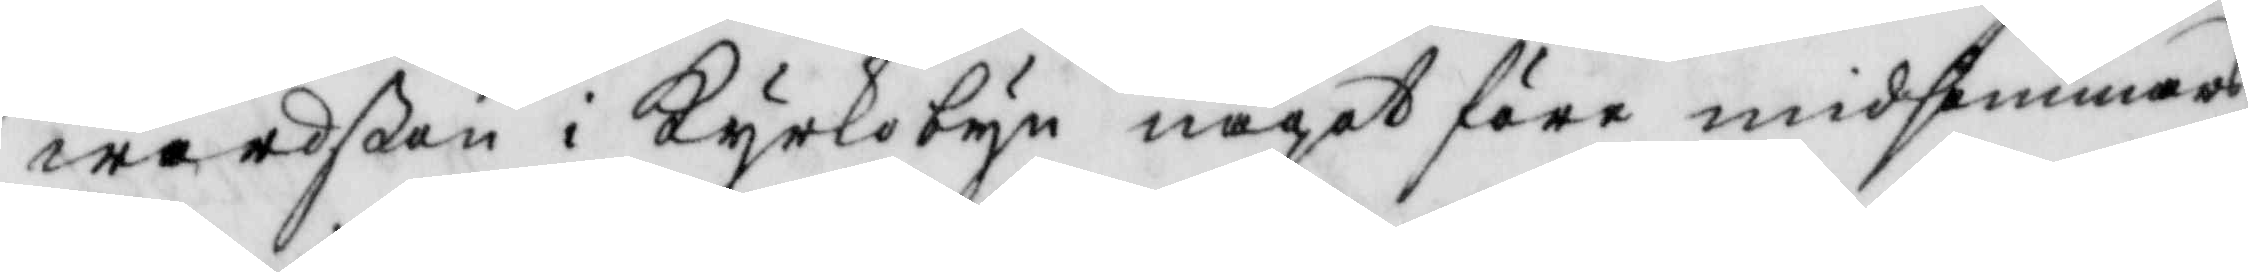wardßon i Kyrkobyn något före midsommars
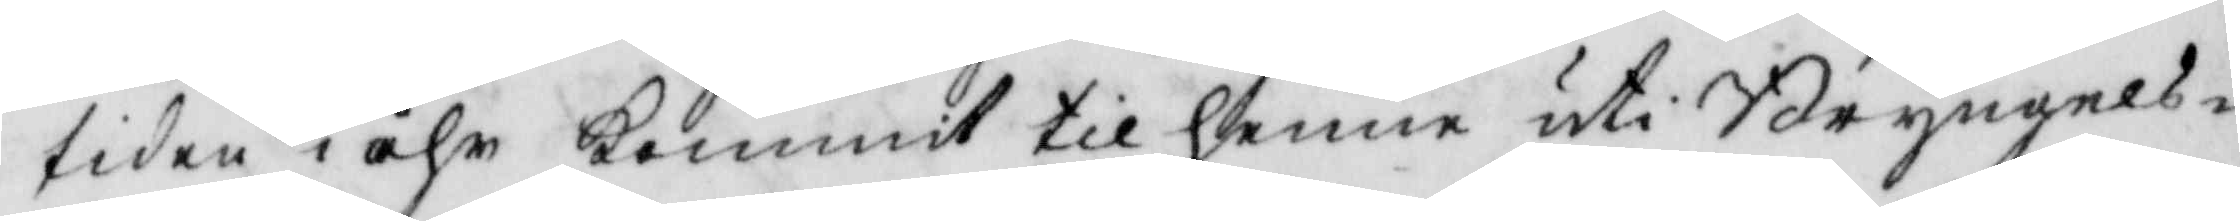tiden i åhr kommit til henne uti Bryngels¬
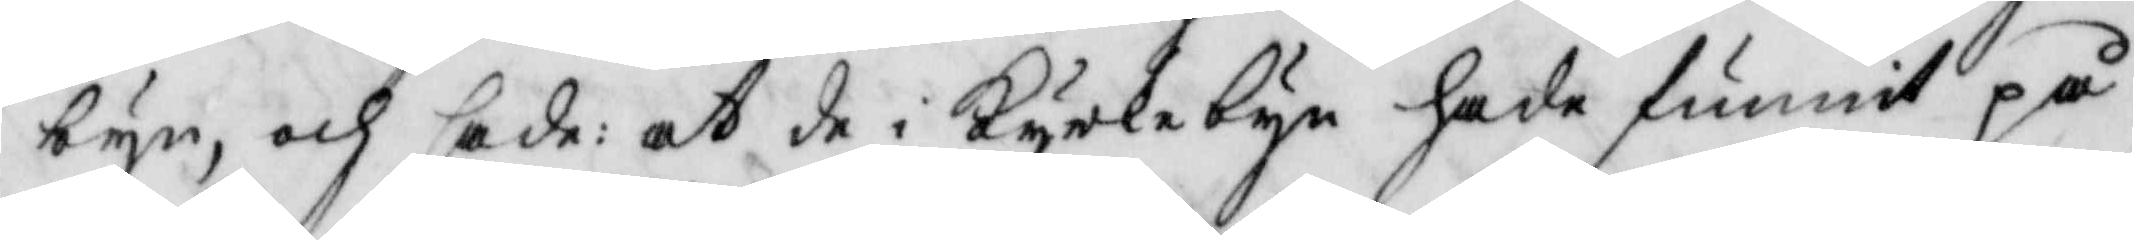byn, och sade: at de i Kyrkebyn hade funnit på
